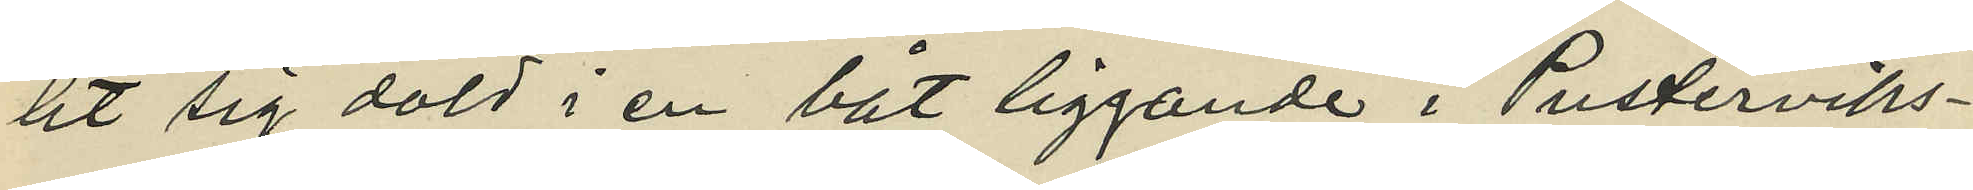lit sig dold i en båt liggande i Pusterviks¬
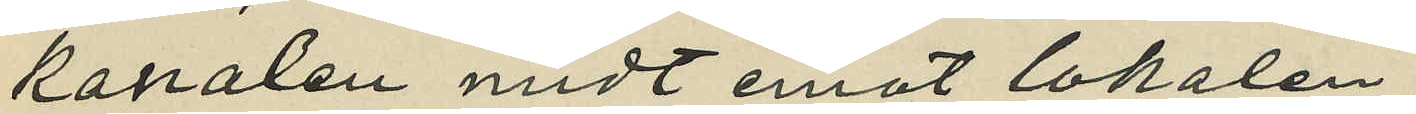kanalen midt emot lokalen;
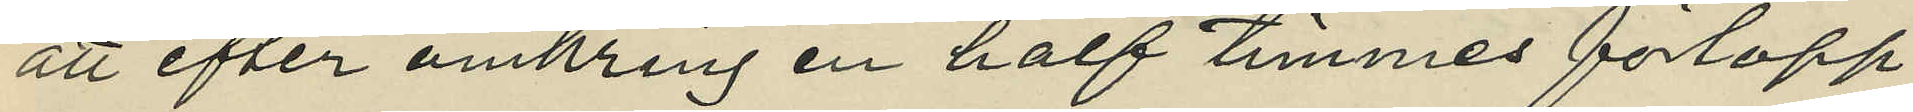att efter omkring en half timmes förlopp
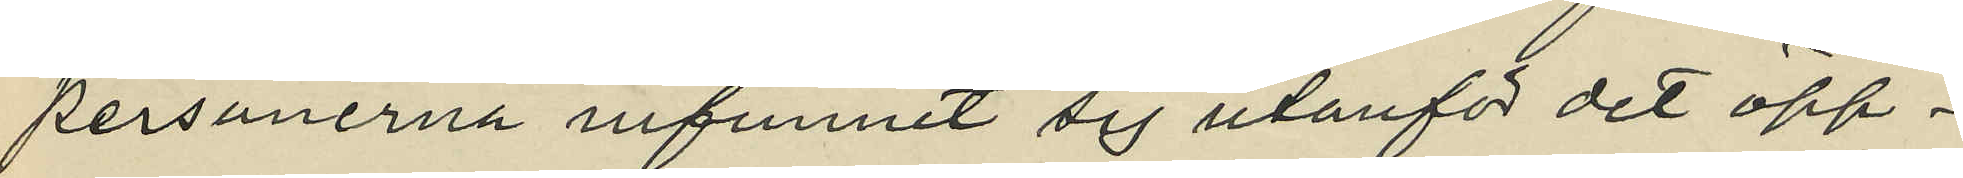personerna infunnit sig utanför det öpp¬
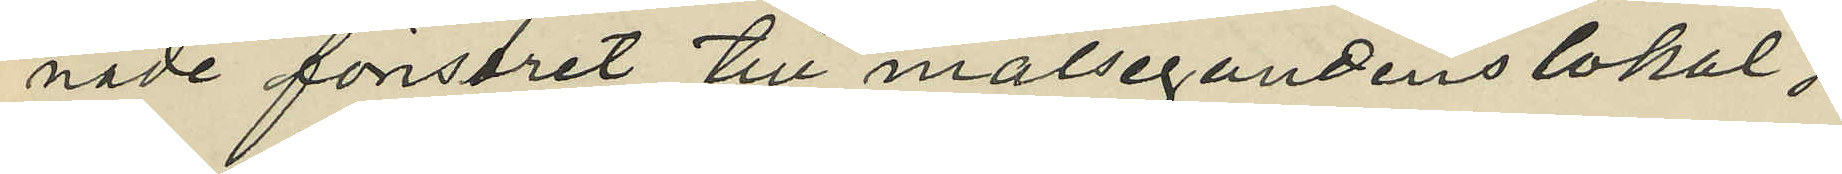nade fönstret till målsegandens lokal;
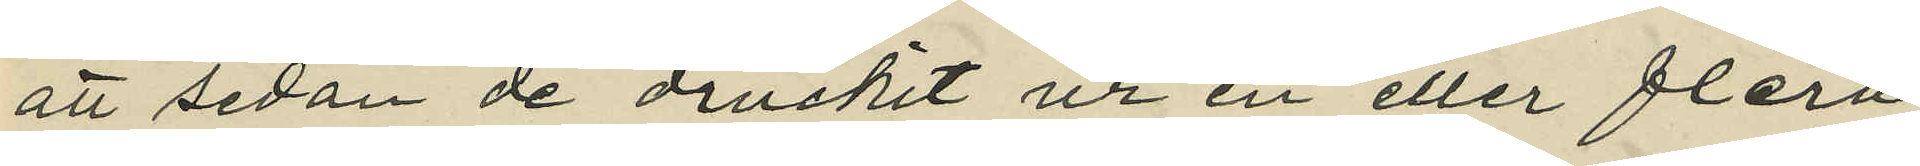att sedan de druckit ur en eller flera
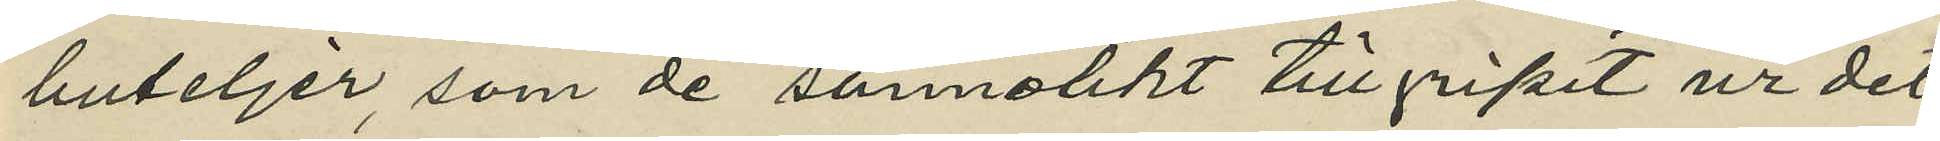buteljer som de sannolikt tillgripit ur det
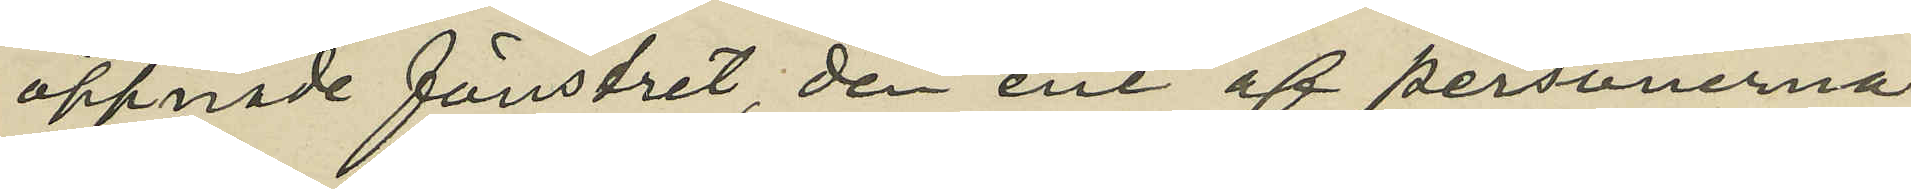öppnade fönstret, den ene af personerna
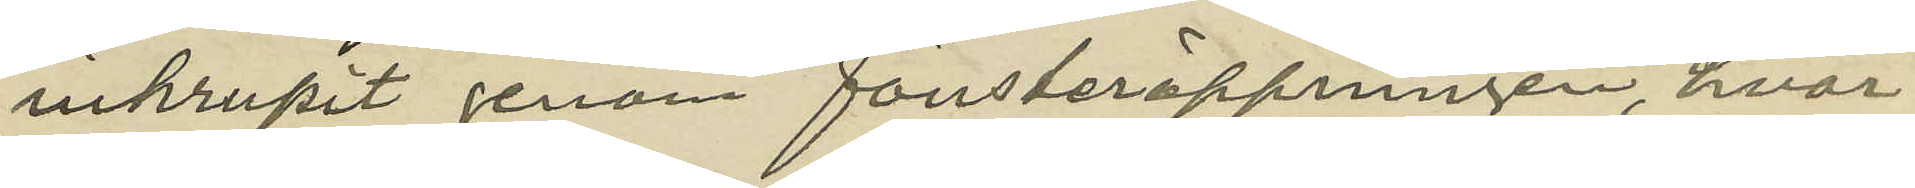inkrupit genom fönsteröppningen, hvar¬
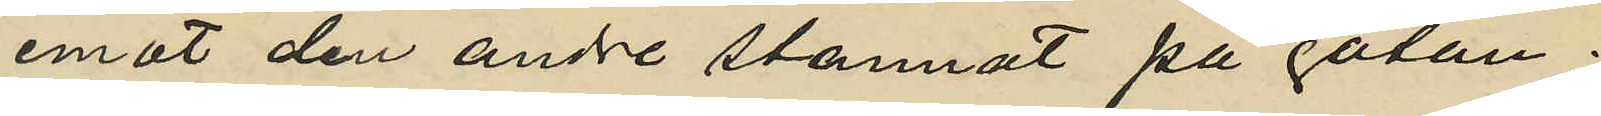emot den andre stannat på gatan;
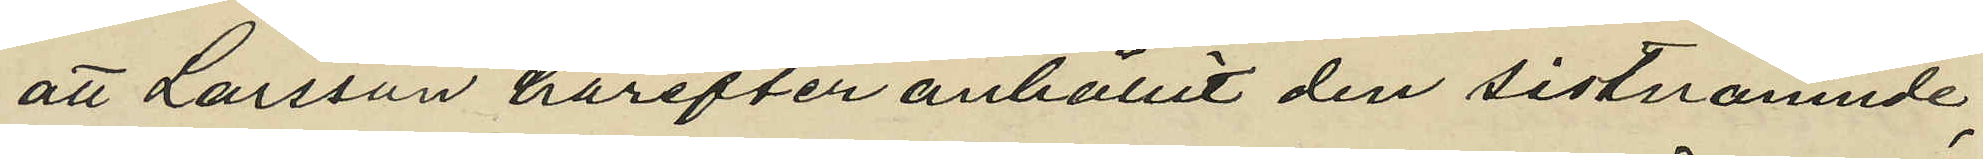att Larsson härefter anhållit den sistnämnde
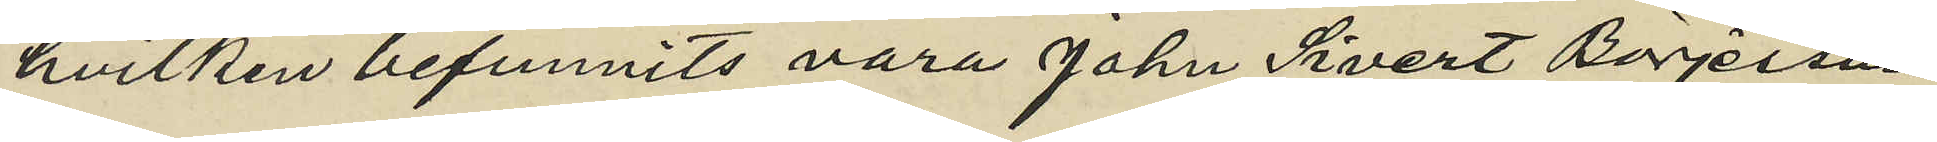hvilken befunnits vara John Sivert Börjesson
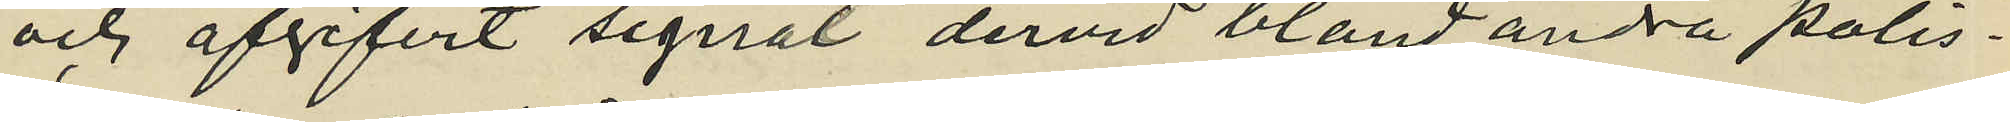och afgifvit signal dervid bland andra polis¬
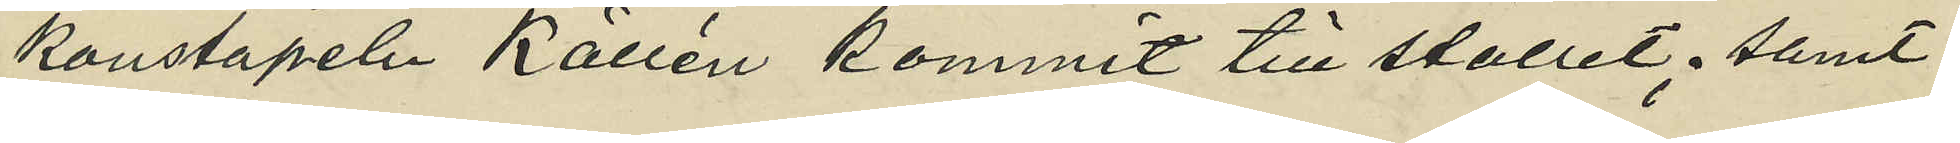konstapeln Källén kommit till stället; samt
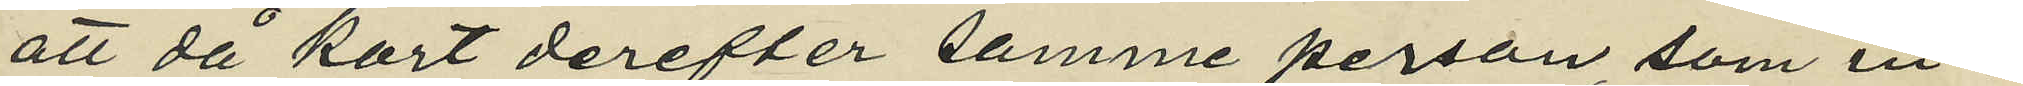att då kort derefter samme person som in¬
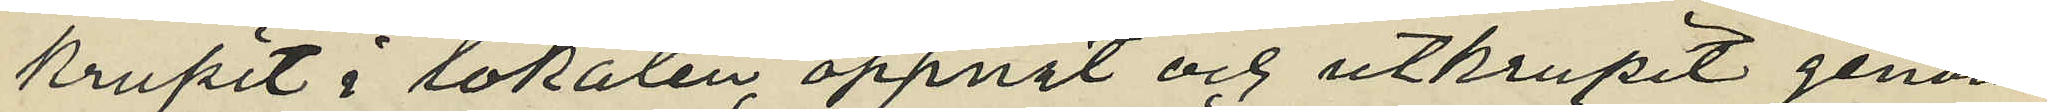krupit i lokalen öppnat och utkrupit genom
